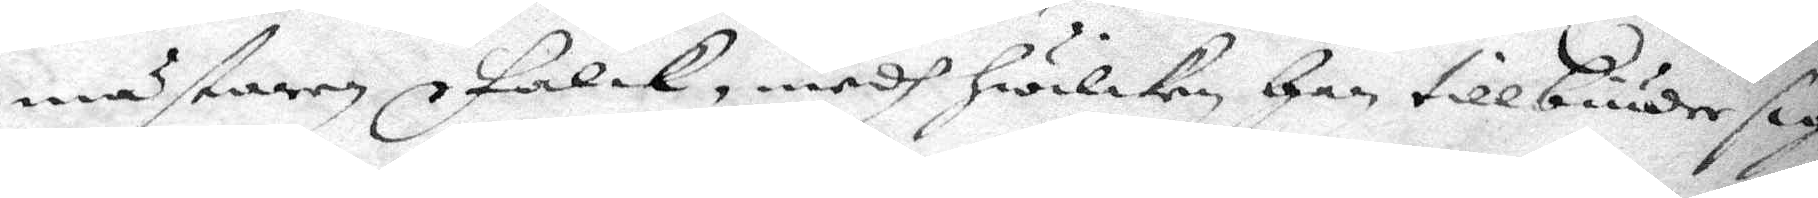mästaren Falck, medh hwilken han tillbuuder sig
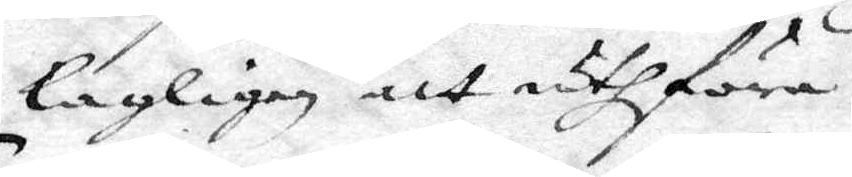lagligen att uthföra.
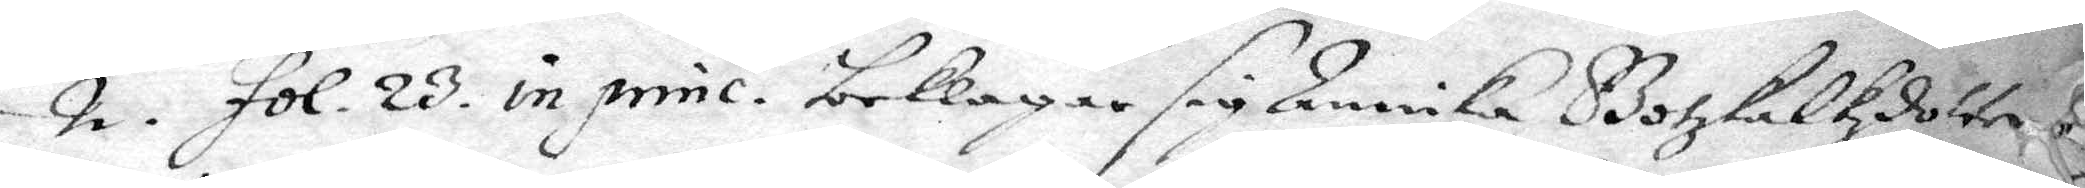2. fol 23. in princ. beklagar sig Annika Gotzkalkzdotter
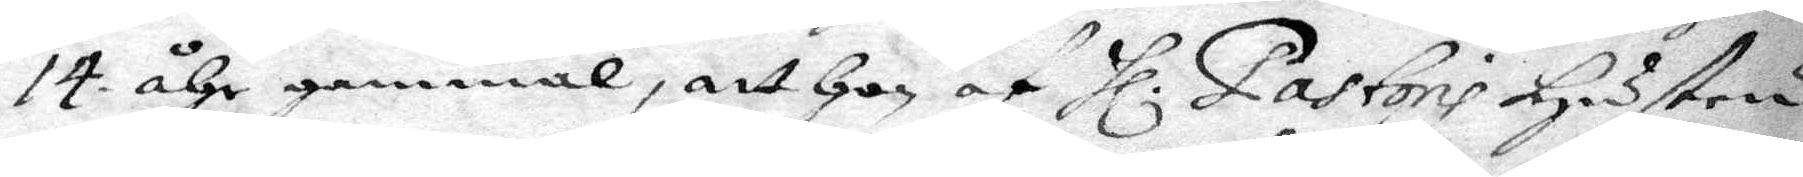14 åhr gammal, att hon af Hl. Pastoris hustru
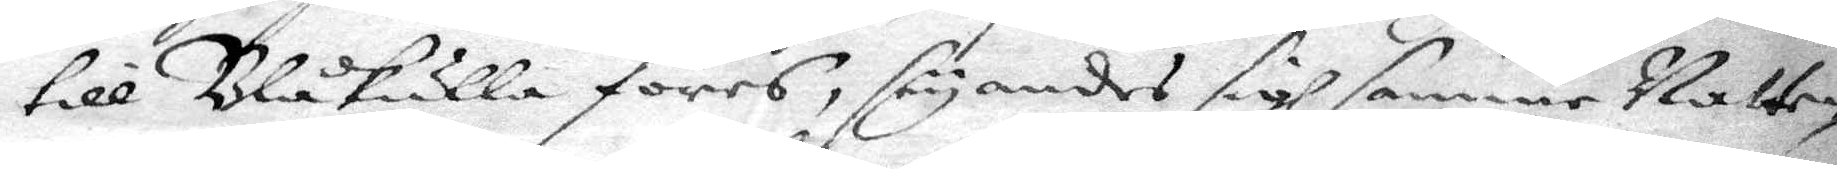till Blåkulla föres, säyandes sigh samme natten
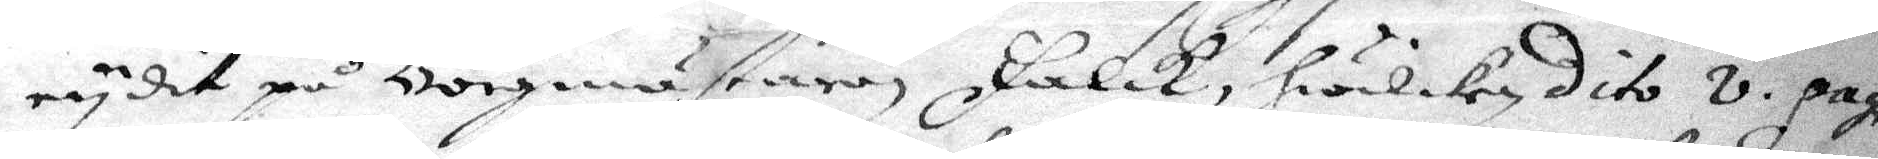rydit på Borgmästaren Falck, hwilken dito 8. pag.
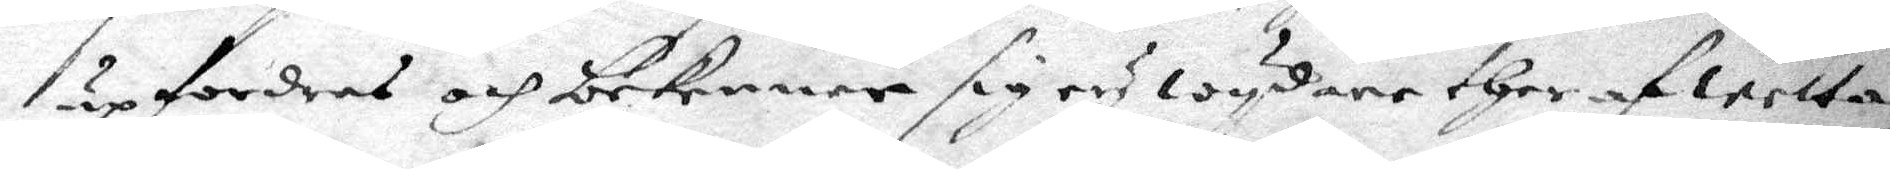upfordras och bekenner sigh ey wydare ther afwetta
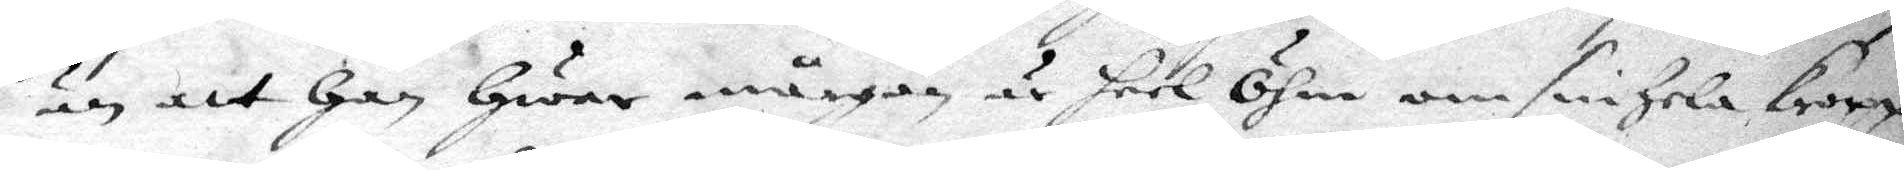än att han hwar någre är heel öhm om sin hela kropp,
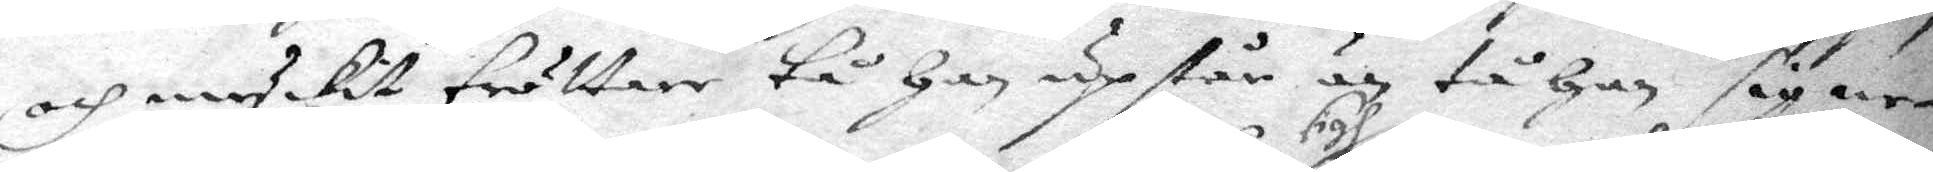och myckit trötter tå han upstår än tå han sig ne¬
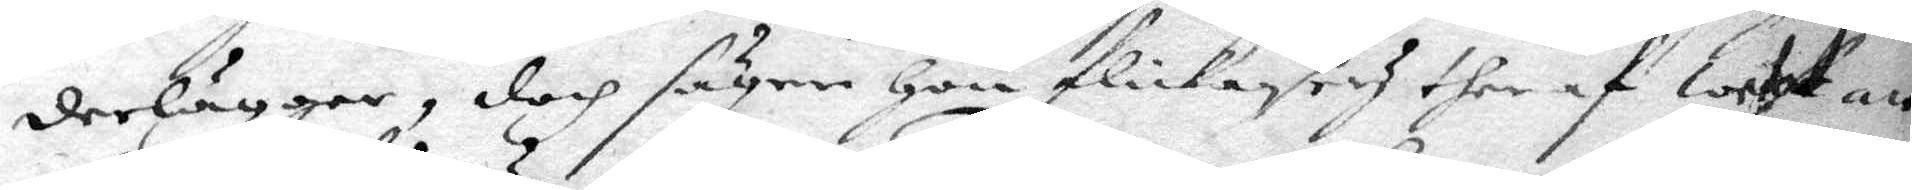derlägger, doch såger hon flickan sigh och ther af wetat att
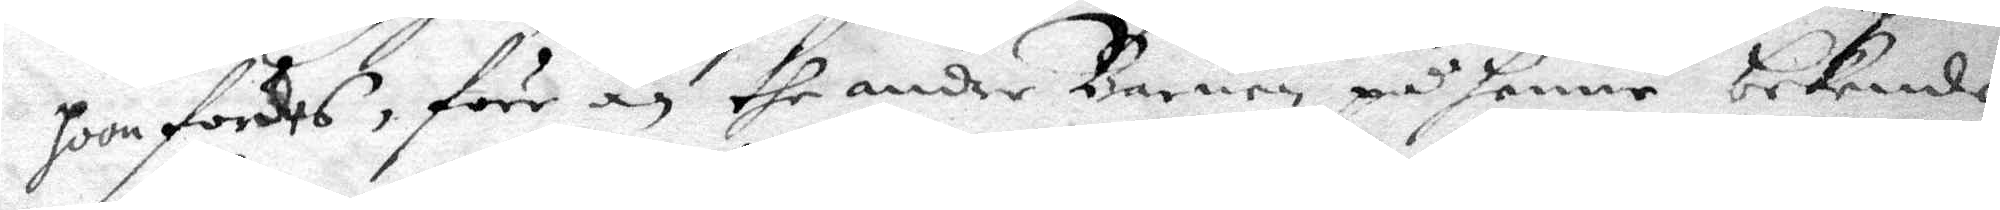hoon fördes, förr än the andre Barnen på henne bekende, i
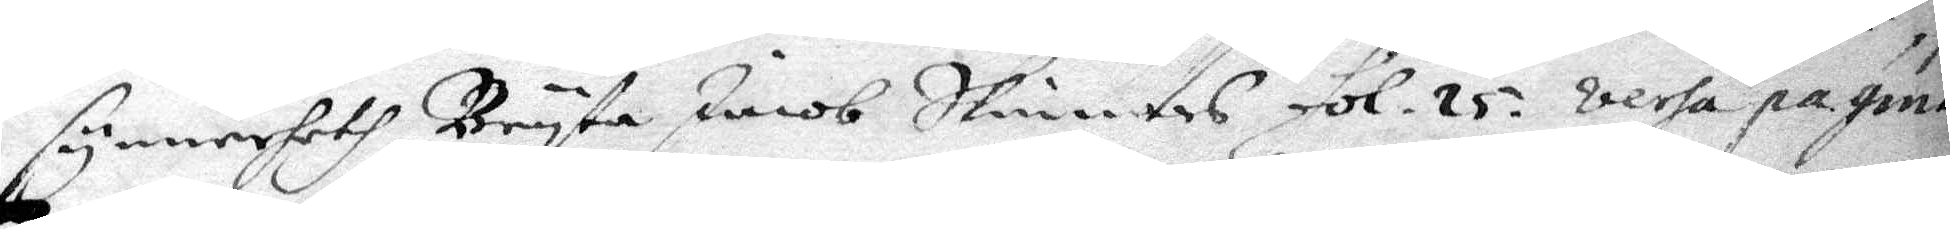synnerheth Bryta Jacob Skinnars fol. 25. verha pagina.
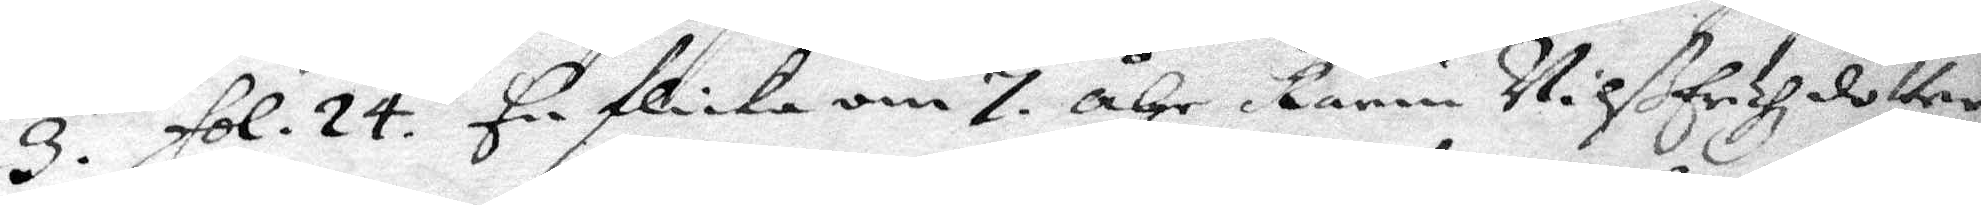3. fol. 24. En flicka om 7 åhr Karin Michelzdotter
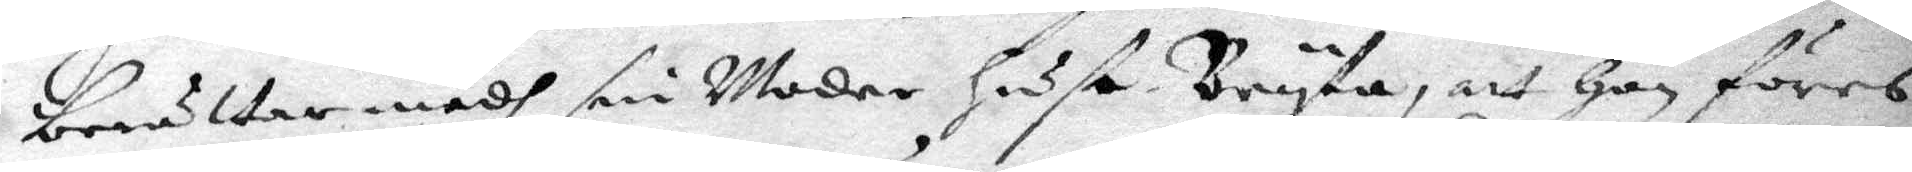beröttar medh sin moder hust Bryta, att hon föres
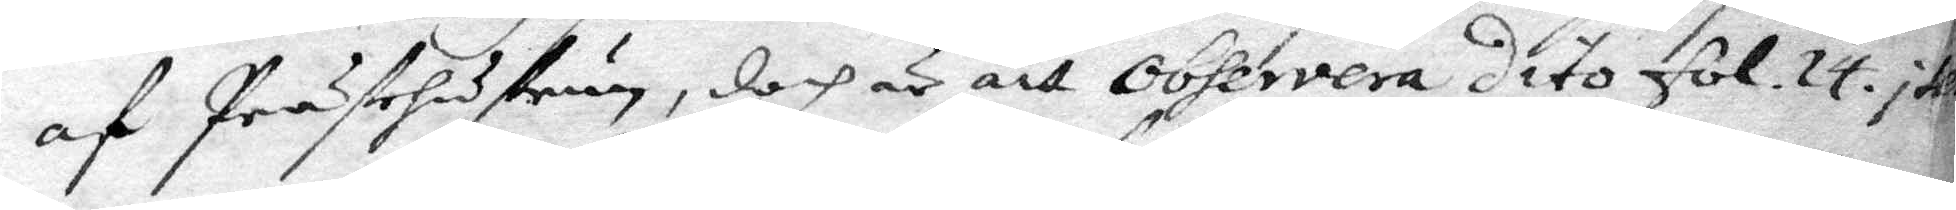af prästehustrun, doch är att observera dito fol. 14 item
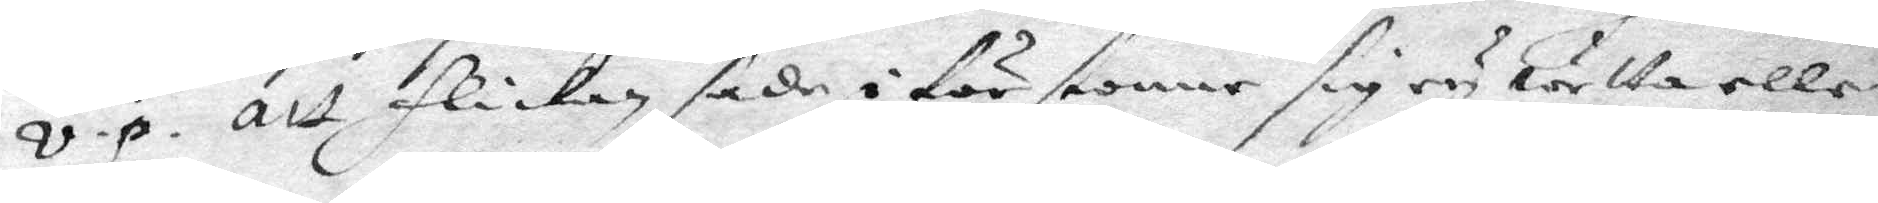v.p. att flickan sade i förstone sig ey wetta eller
